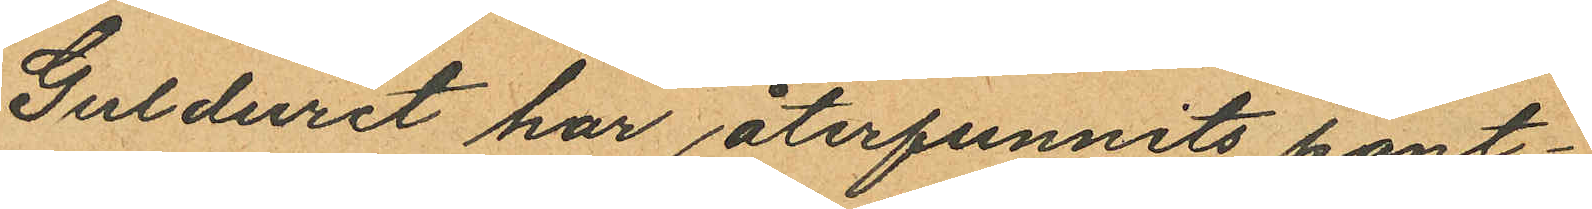Gulduret har återfunnits pant¬
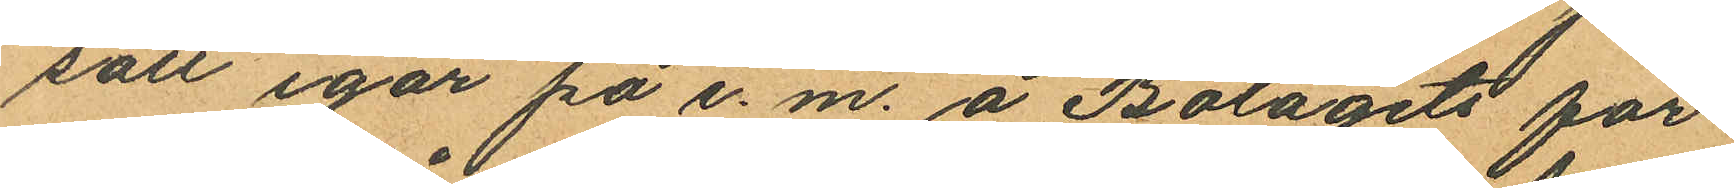satt igår på e. m. å Bolagets för
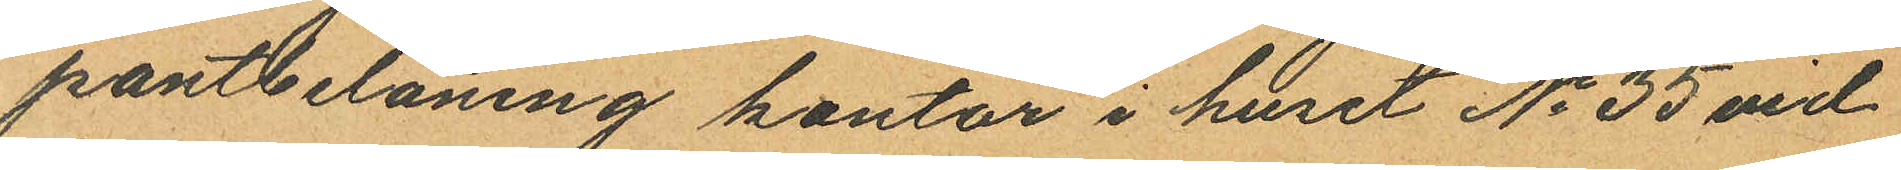pantbelåning kontor i huset No 35 vid
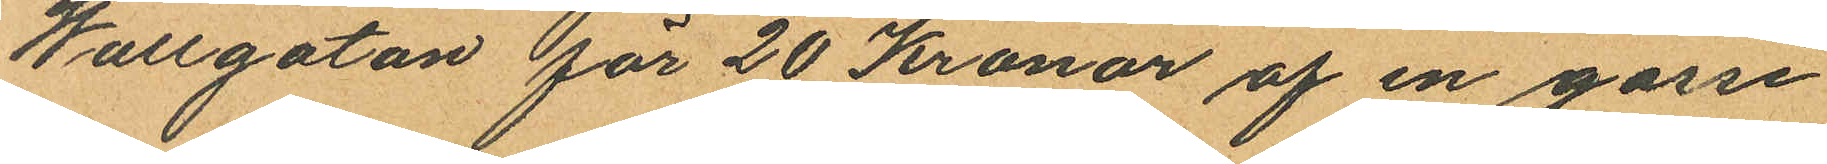Wallgatan för 20 Kronor af en gosse
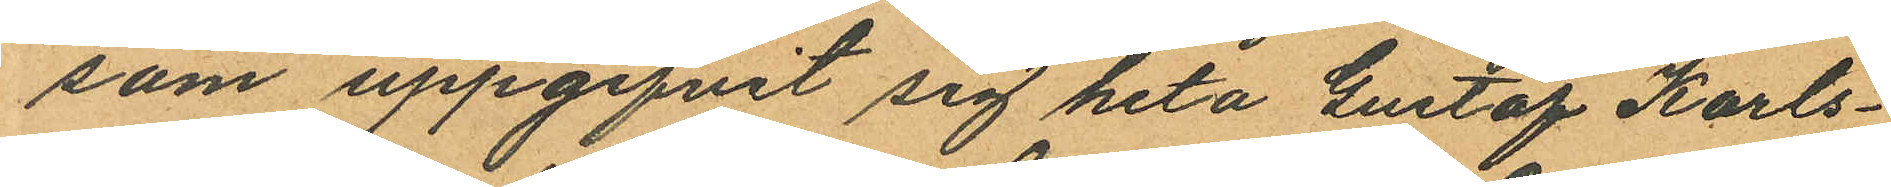som uppgifvit sig heta Gustaf Karls¬
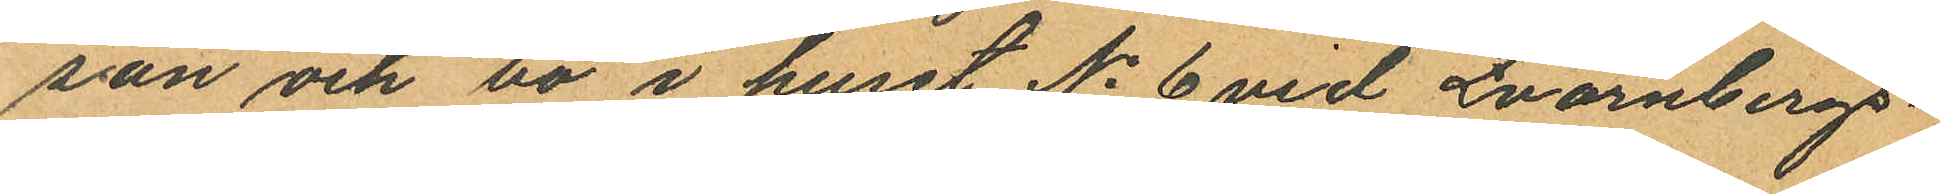son och bo i huset No 6 vid Qvarnbergs¬
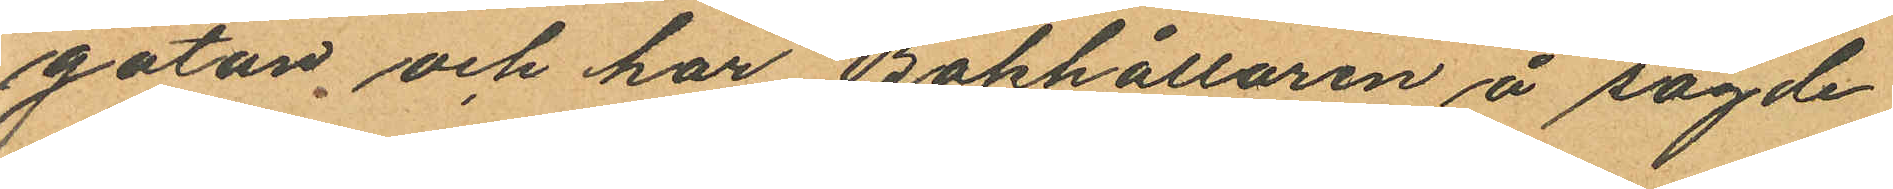gatan och har Bokhållaren å sagde
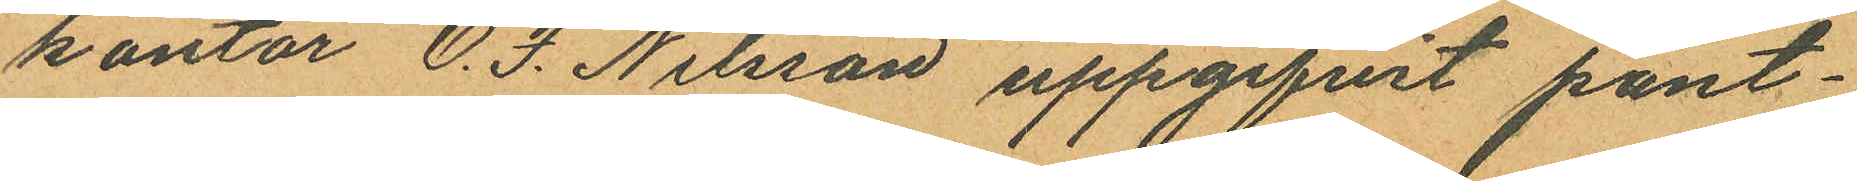kontor O. F. Nilsson uppgifvit pant¬
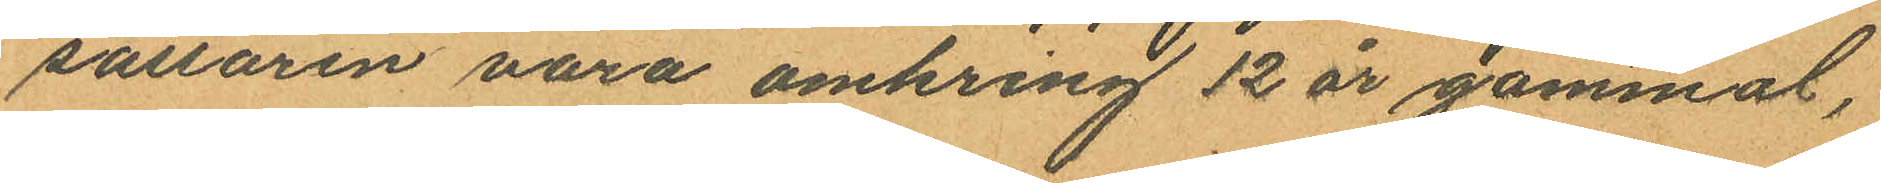sättaren vara omkring 12 år gammal,
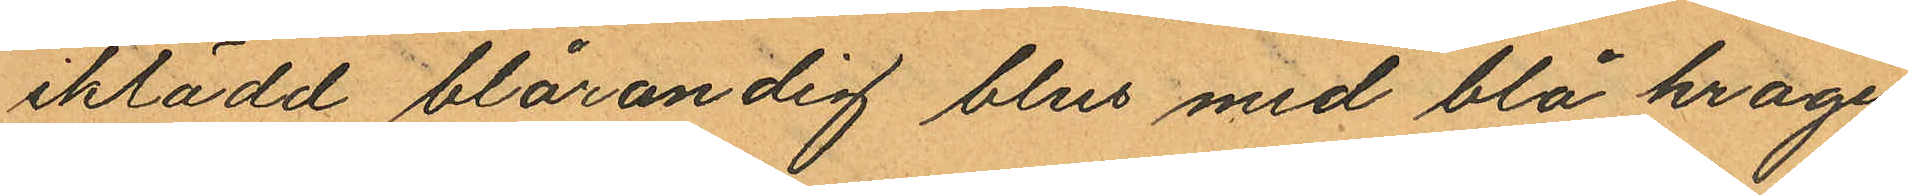iklädd blårandig blus med blå krage,
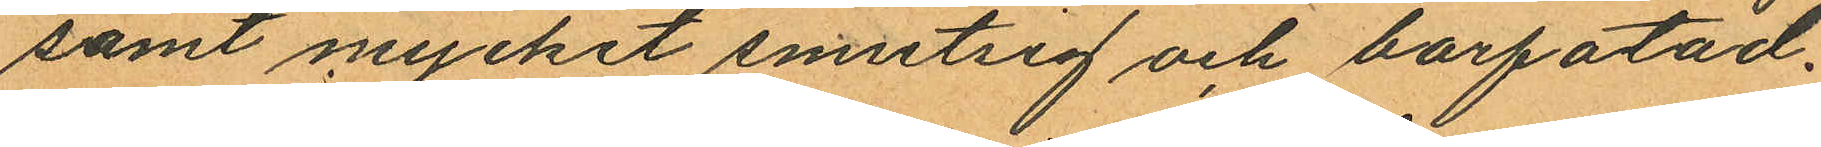samt mycket smutsig och barfotad.
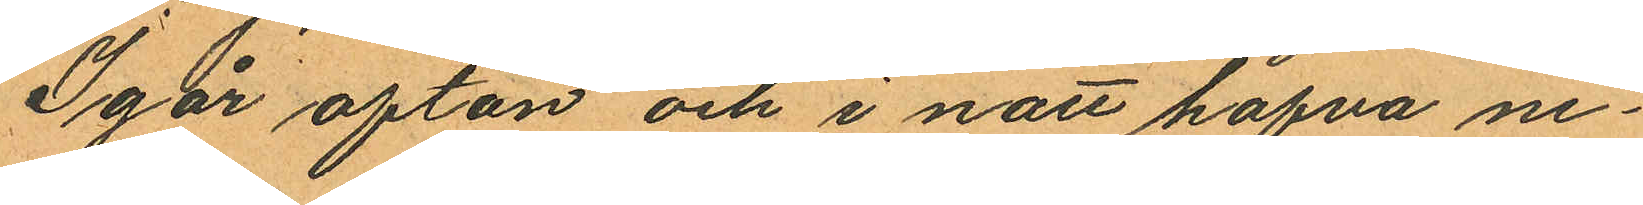Igår afton och i natt hafva ne¬
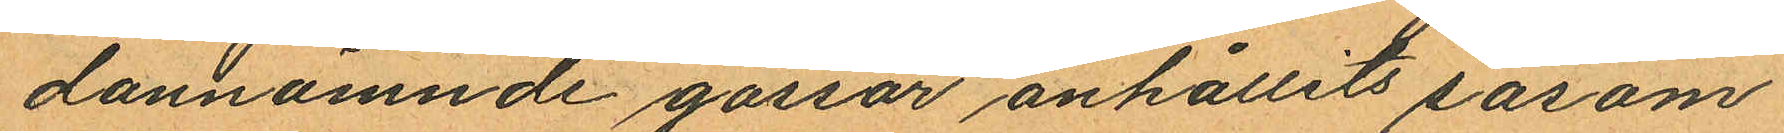dannämnde gossar anhållits såsom
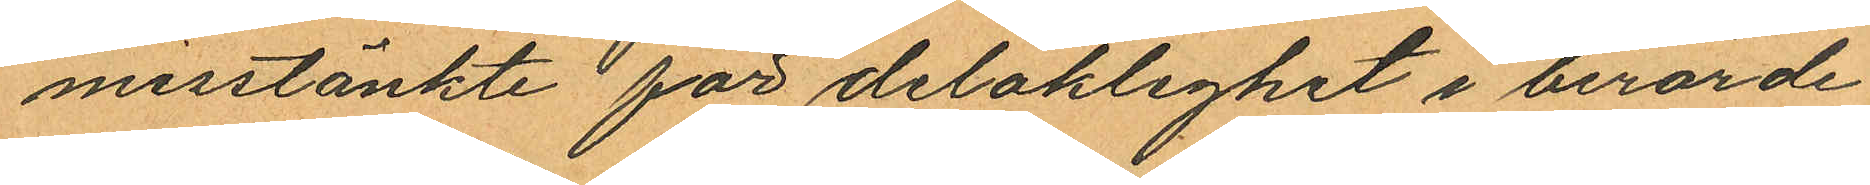misstänkte för delaklighet i berörde
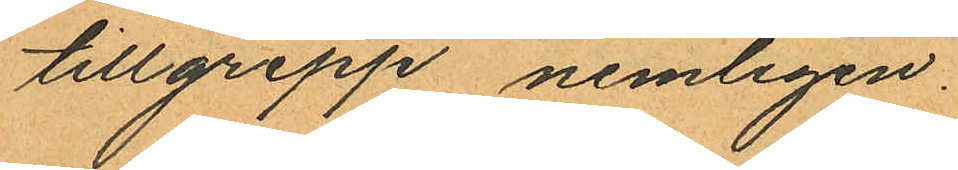tillgrepp nemligen.
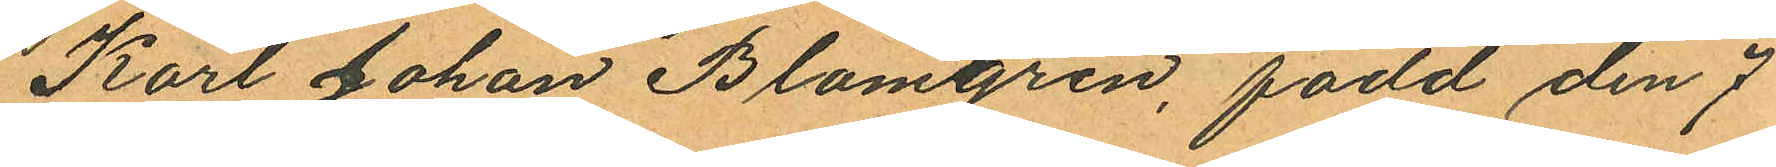Karl Johan Blomgren, född den 7
